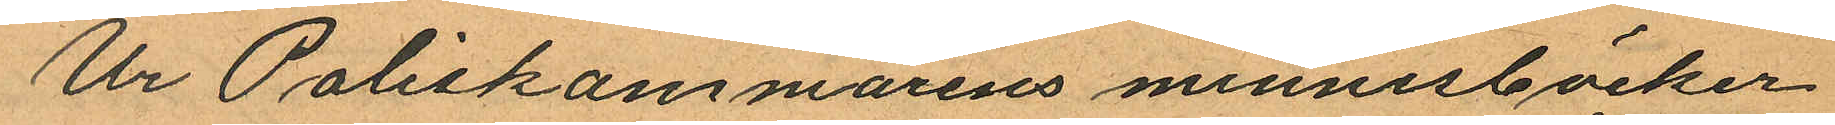Ur Poliskammarens minnesböcker
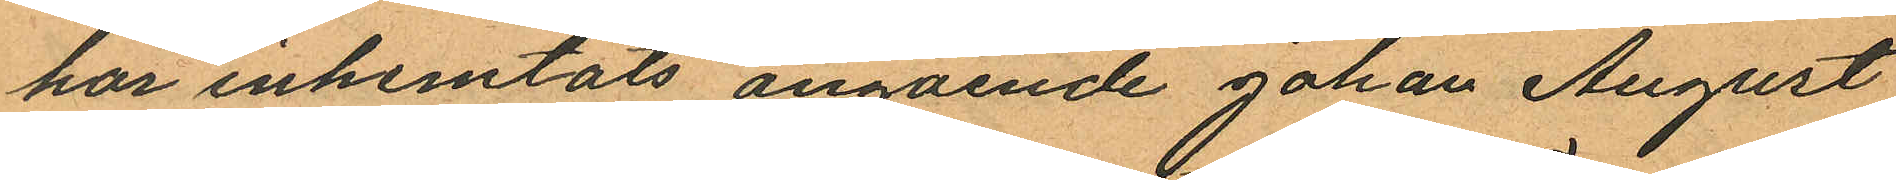har inhemtats angående Johan August
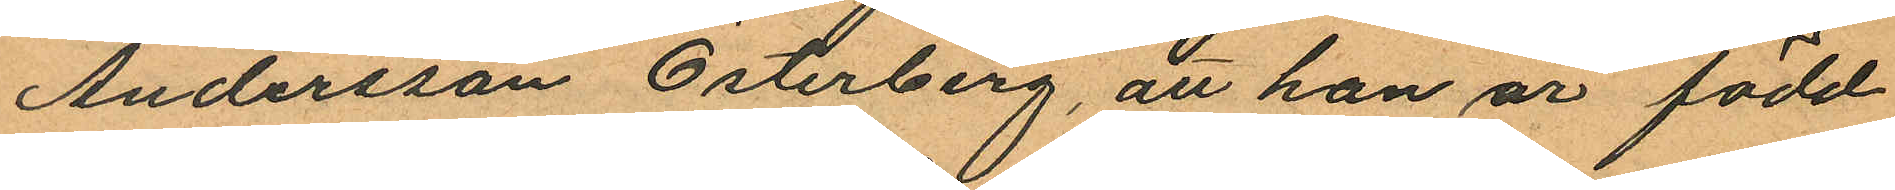Andersson Österberg, att han är född
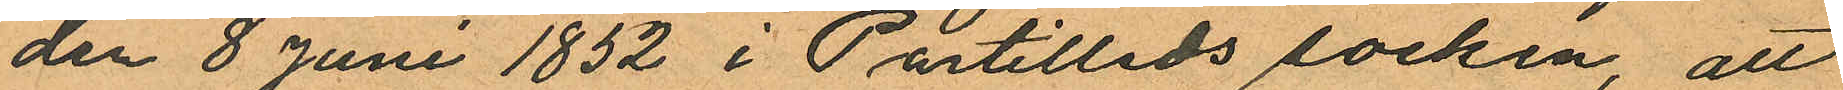den 8 juni 1852 i Partilleds socken, att
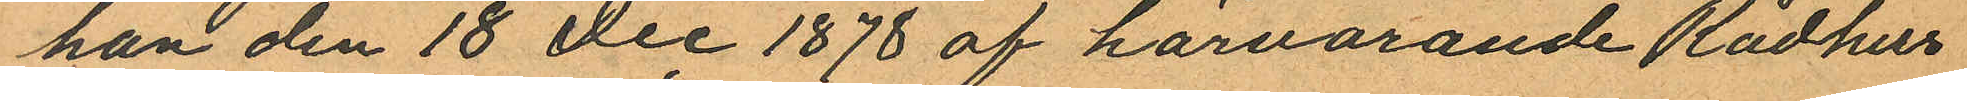han den 18 dec 1878 af härvarande Rådhus
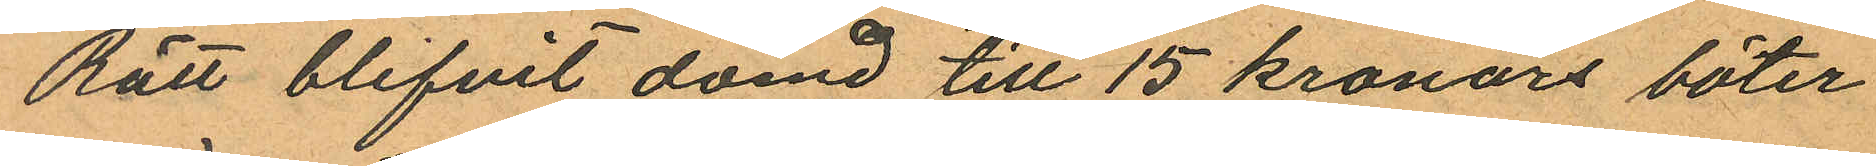Rätt blifvit dömd till 15 kronors böter
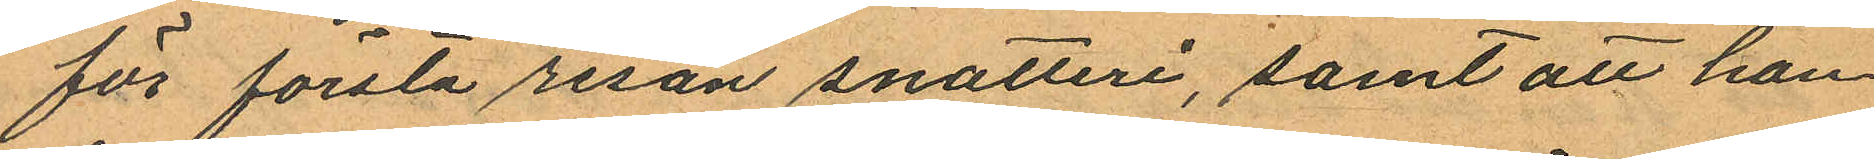för första resan snatteri, samt att han
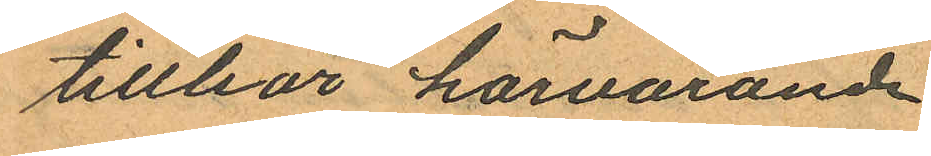tillhör härvarande
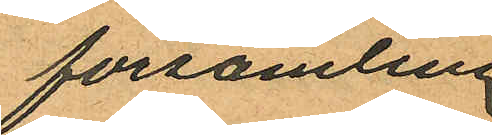församling.
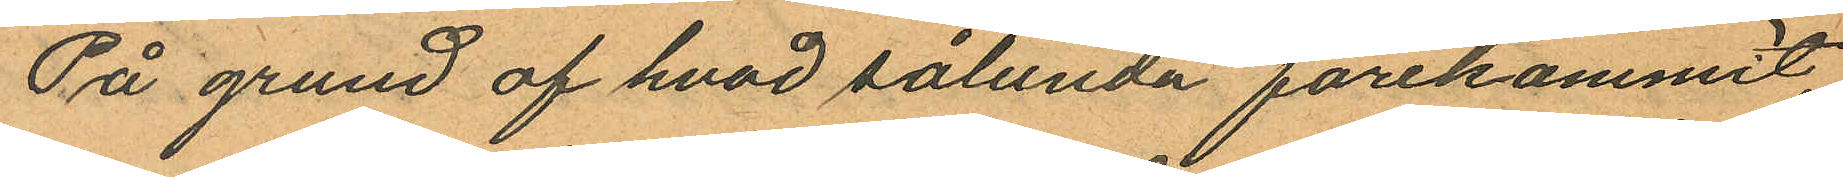På grund af hvad sålunda förekommit,
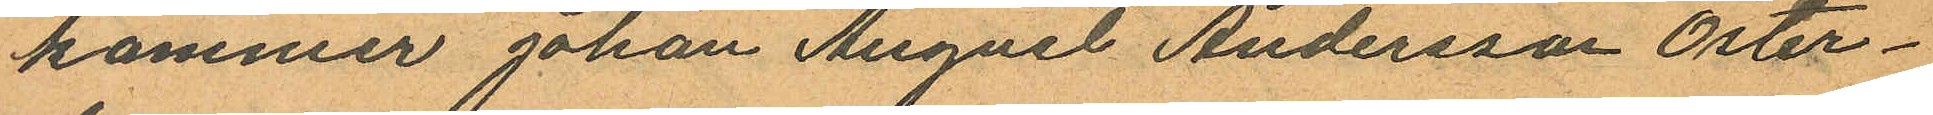kommer Johan August Andersson Öster¬
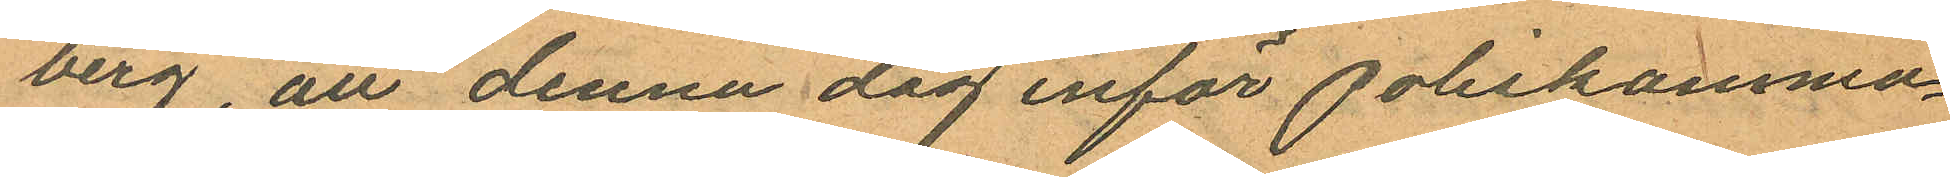berg att denna dag inför poliskamma¬
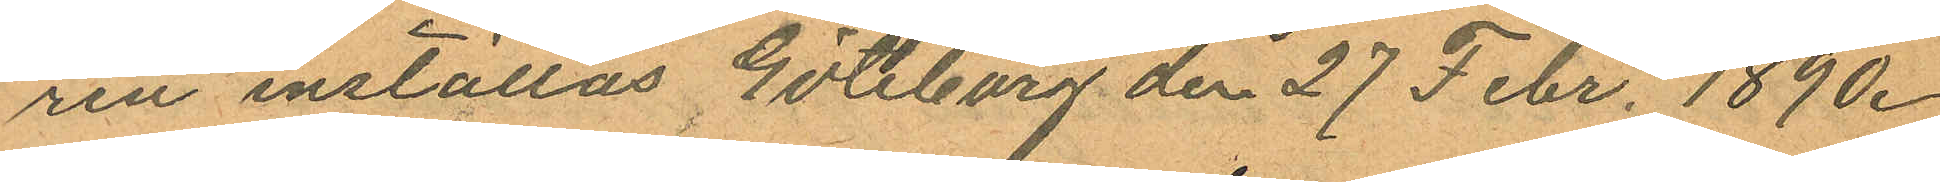ren inställas. Göteborg den 27 Febr. 1890.
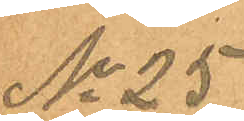No 25
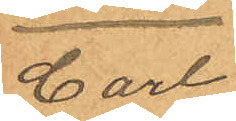Carl
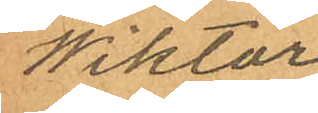Wiktor
